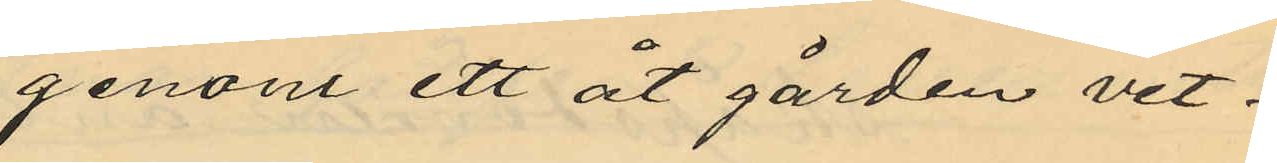genom ett åt gården vet¬
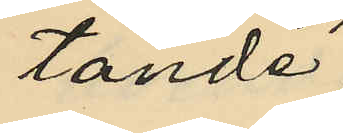tande
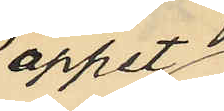öppet
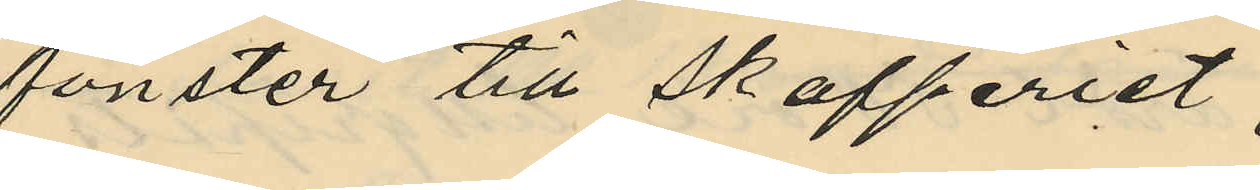fönster till skafferiet;
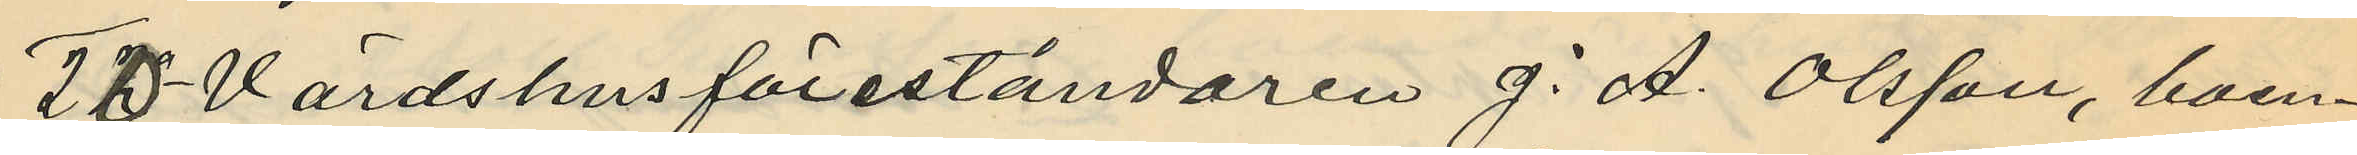20o Värdshusföreståndaren J. A. Olsson, boen¬
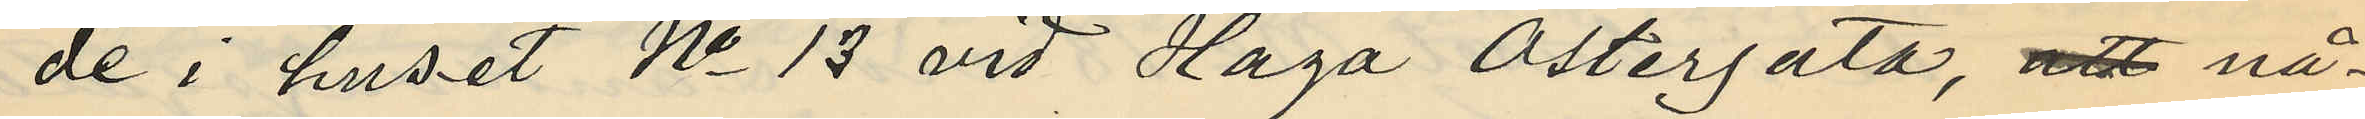de i huset No 13 vid Haga Östergata, att nå¬
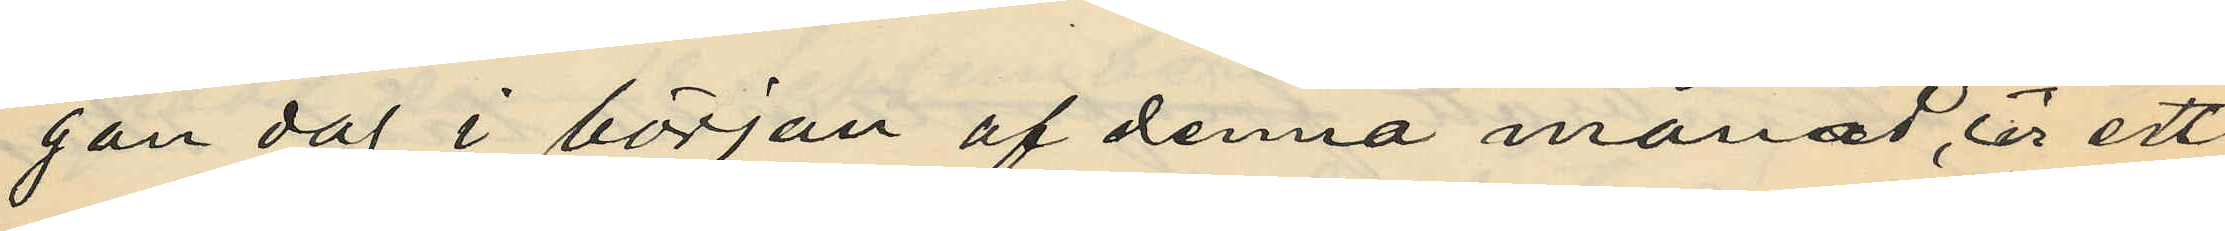gon dag i början af denna månad, ur ett
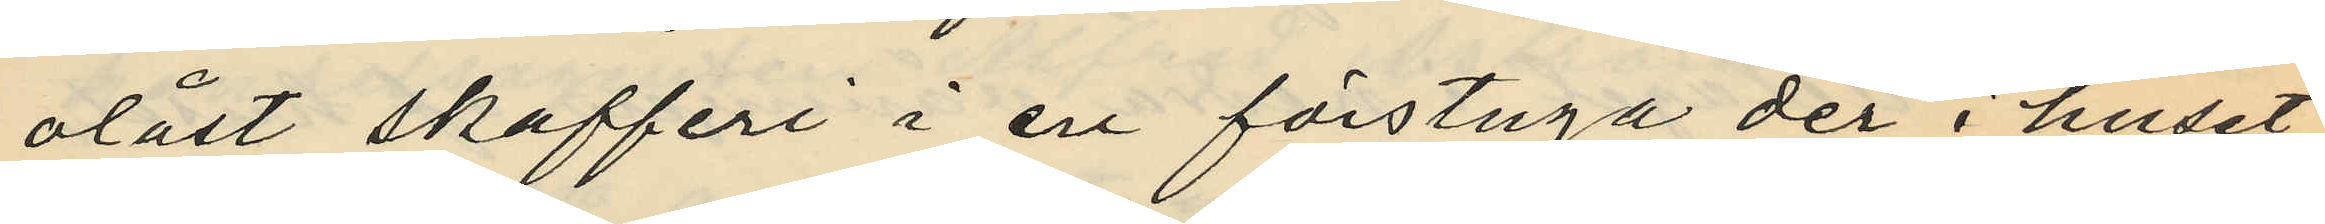olåst skafferi i en förstuga der i huset
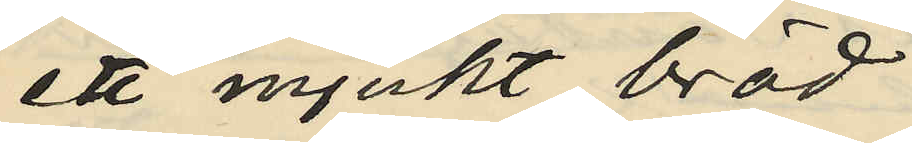ett mjukt bröd
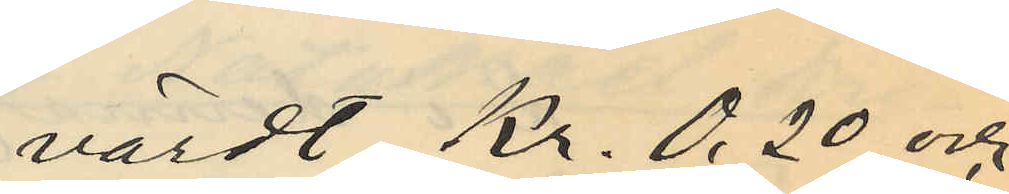värdt Kr. 0,20 och
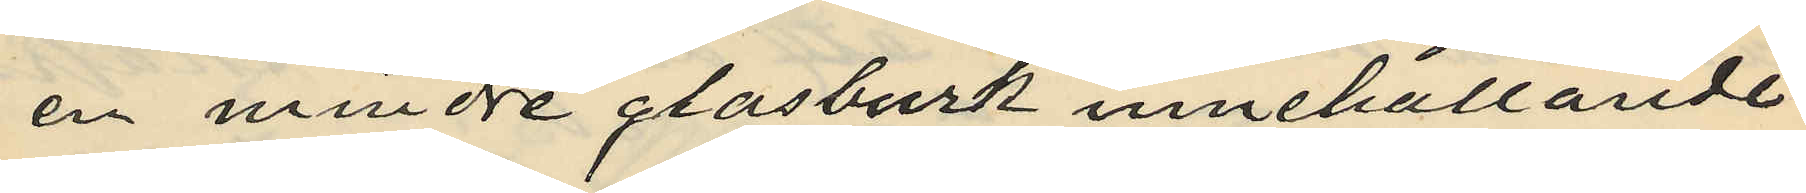en mindre glasburk innehållande
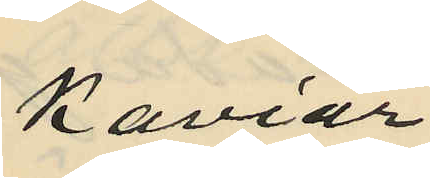Kaviar
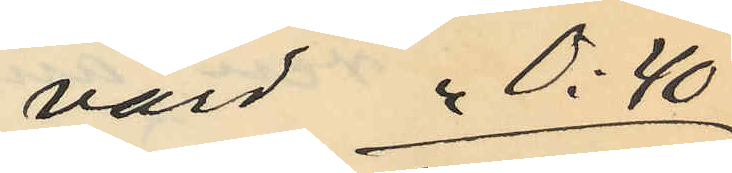värd " 0:40
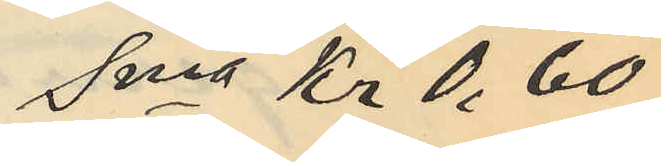Sma Kr 0,60
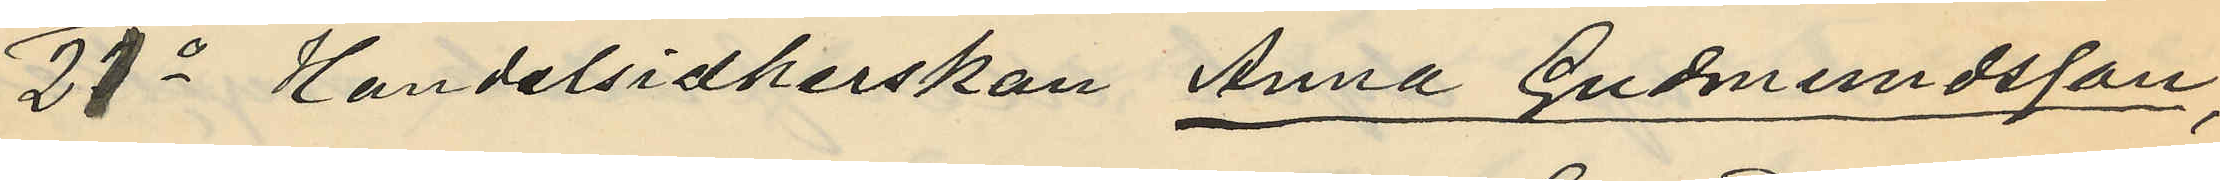21o Handelsidkerskan Anna Gudmundsson,
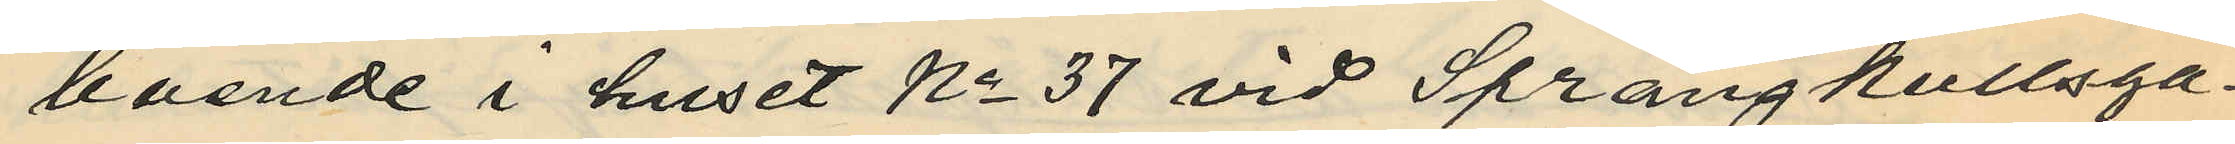boende i huset No 37 vid Sprängkullsga¬
